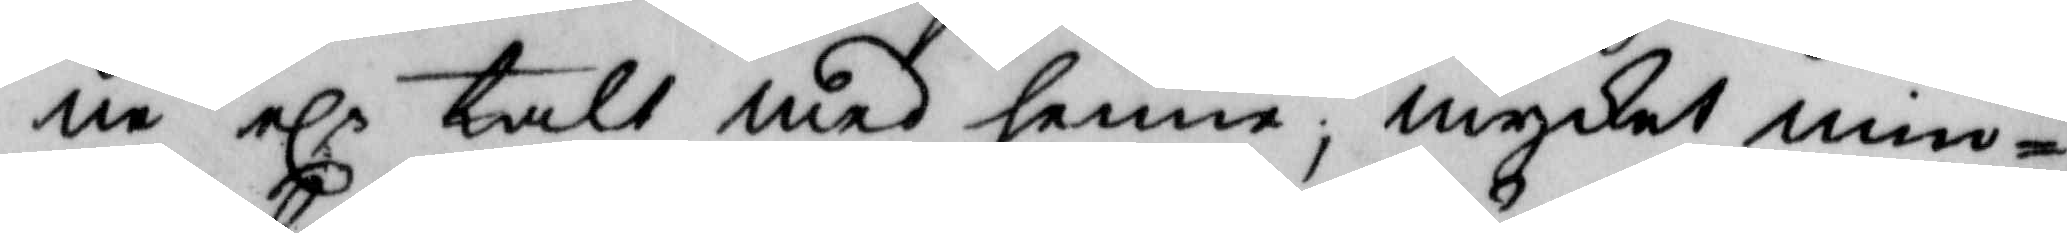ne elr talt med henne; mycket min¬
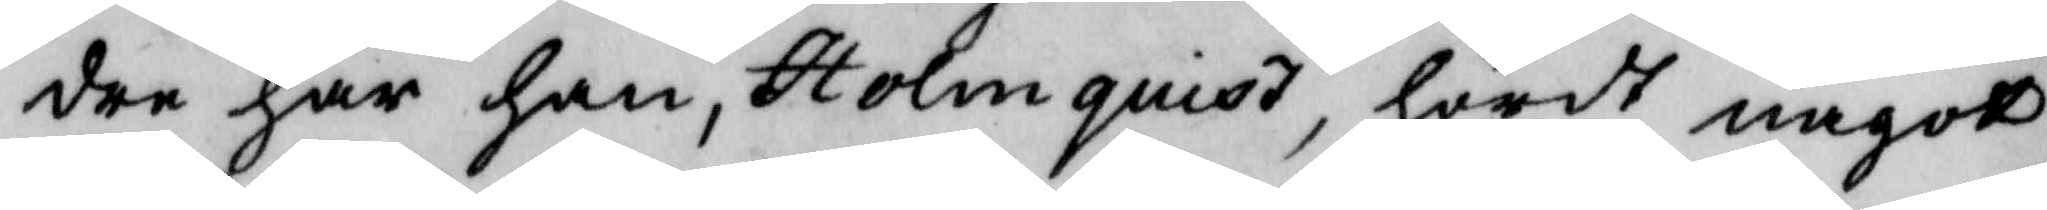dre har han, Holmquist, hördt något
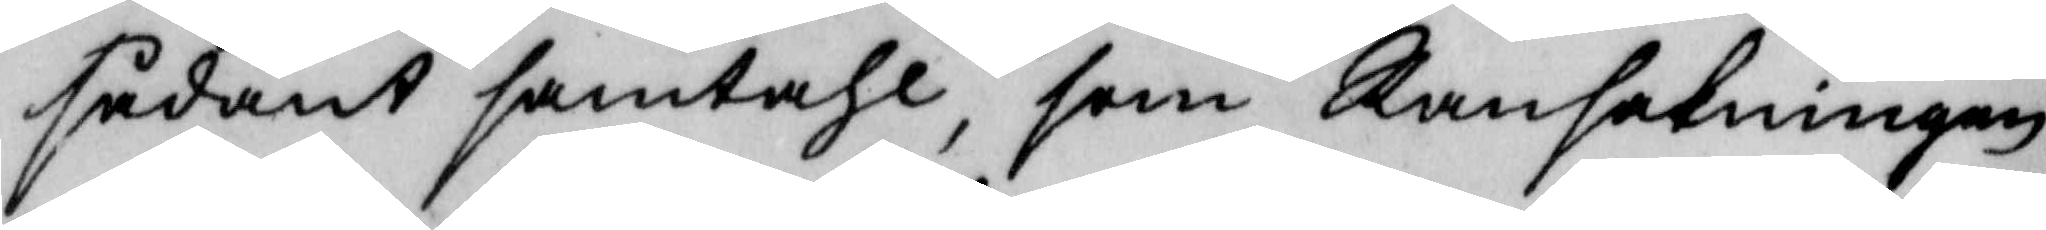sådant samtahl, som Ransakningen
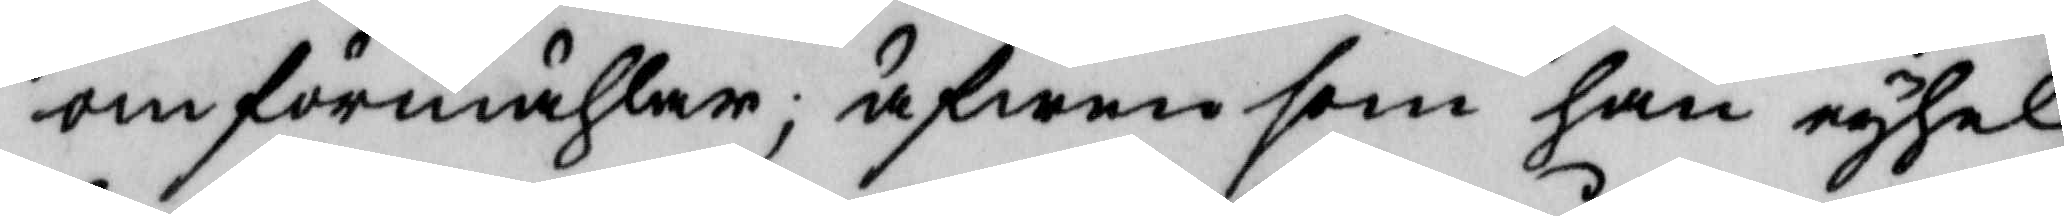omförmähler; äfwen som han eyhel¬
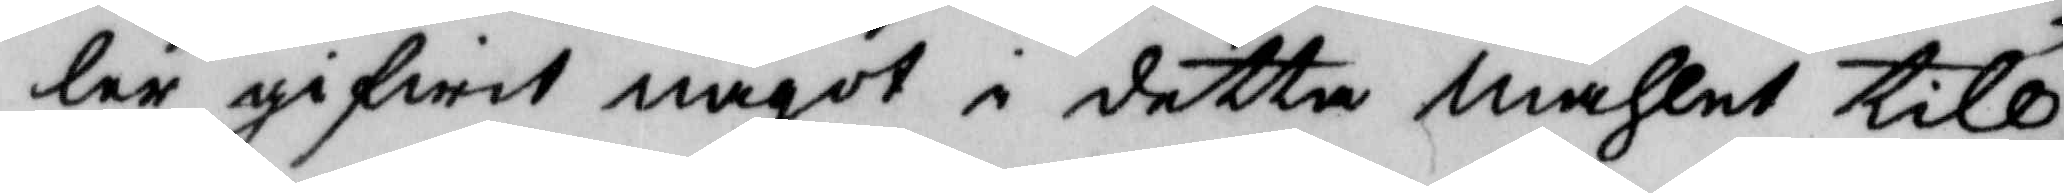ler gifwit något i detta måhlet till¬
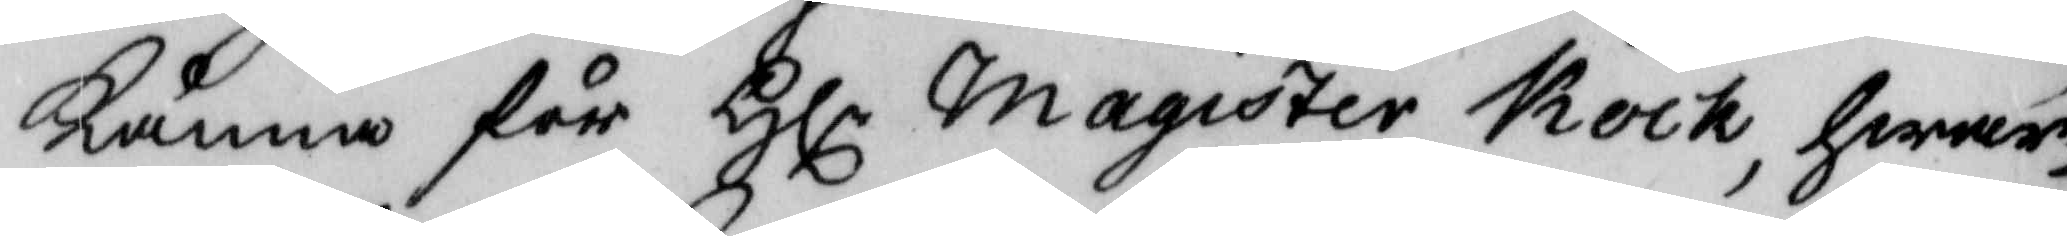känna för Hlr magister Kock, hwar¬
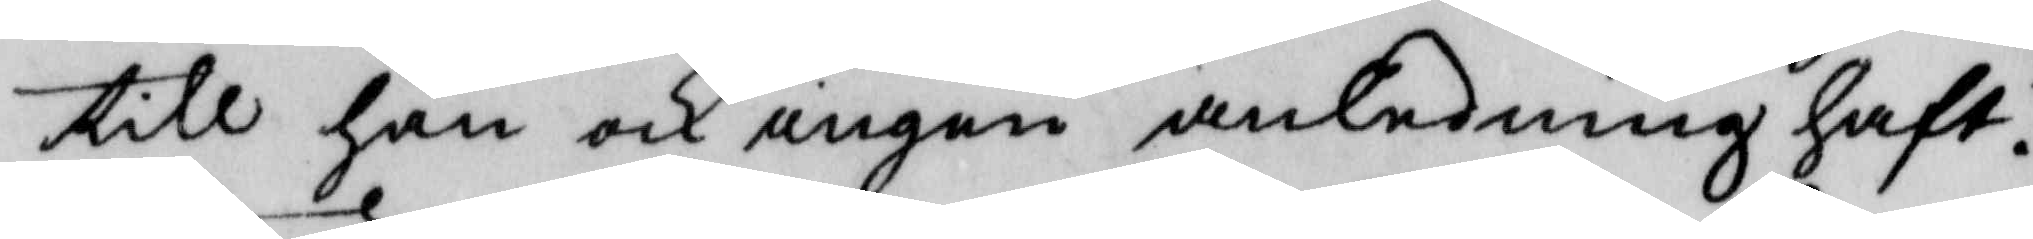till han och ingen anledning haft.
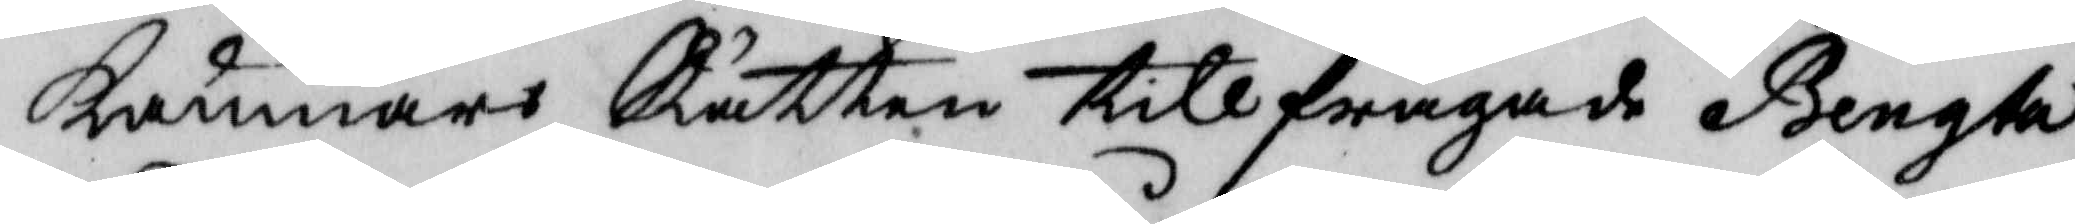Kämnärs Rätten tillfrågade Bengta
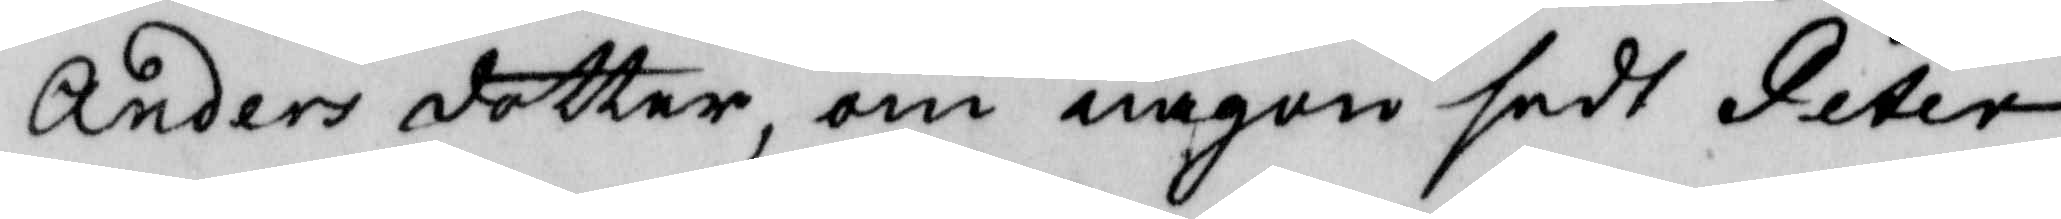Anders dotter, om någon sedt Peter
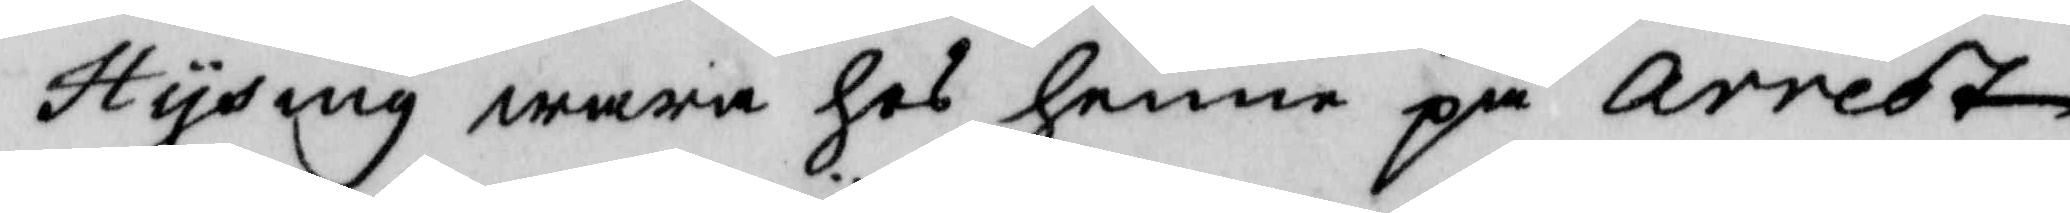Hysing wara hos henne på arrest¬
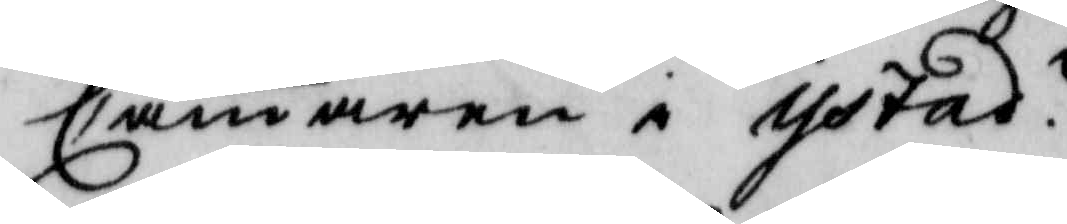Cammaren i Ystad?
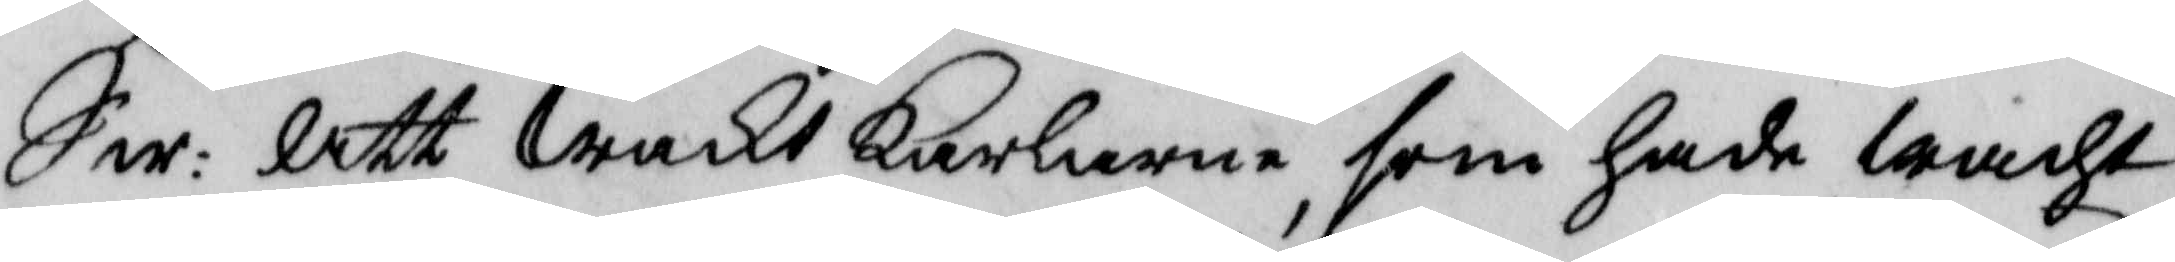Sw: Att wakt karlarna, som hade wacht
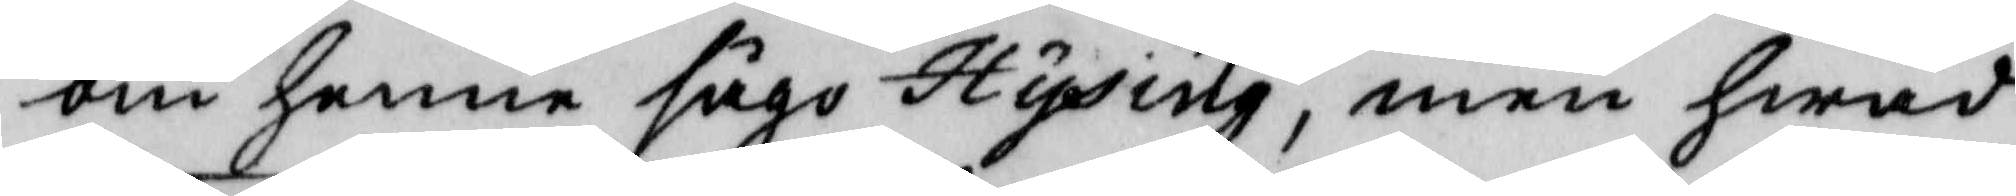om henne, sågo Hysing, men hwad
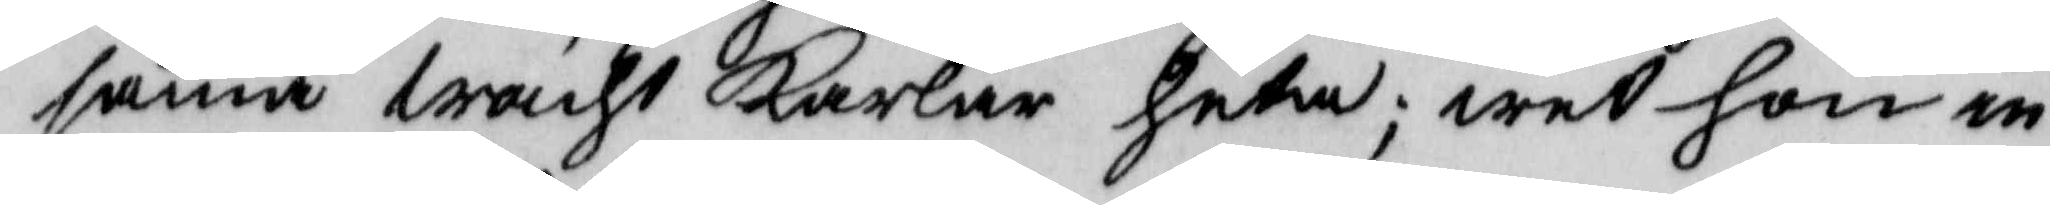samma wacht Karlar heta; wet hon in¬
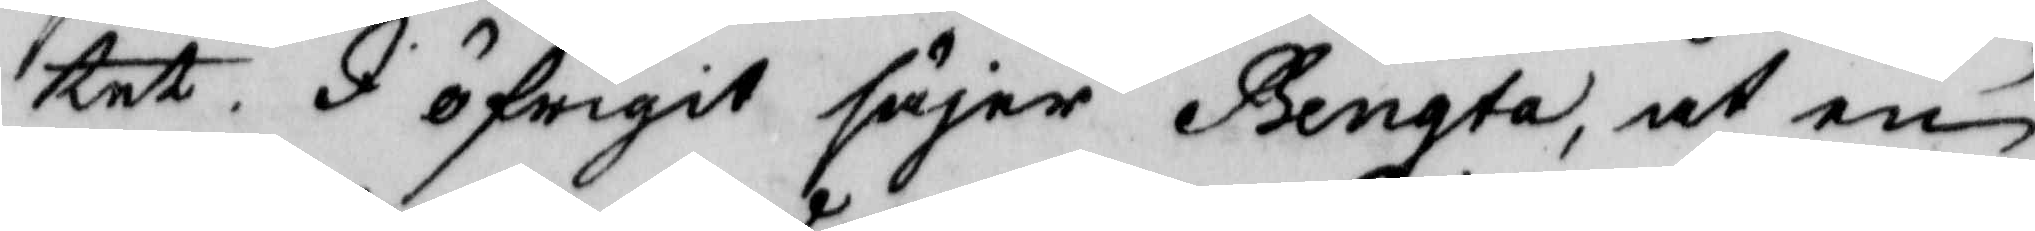tet. I öfrigit säjer Bengta, at en
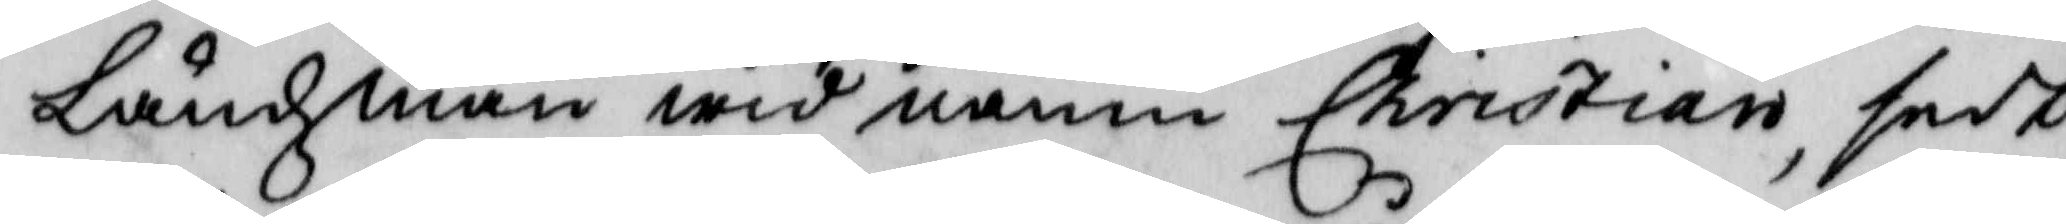Ländzman wid namn Christian, sedt
